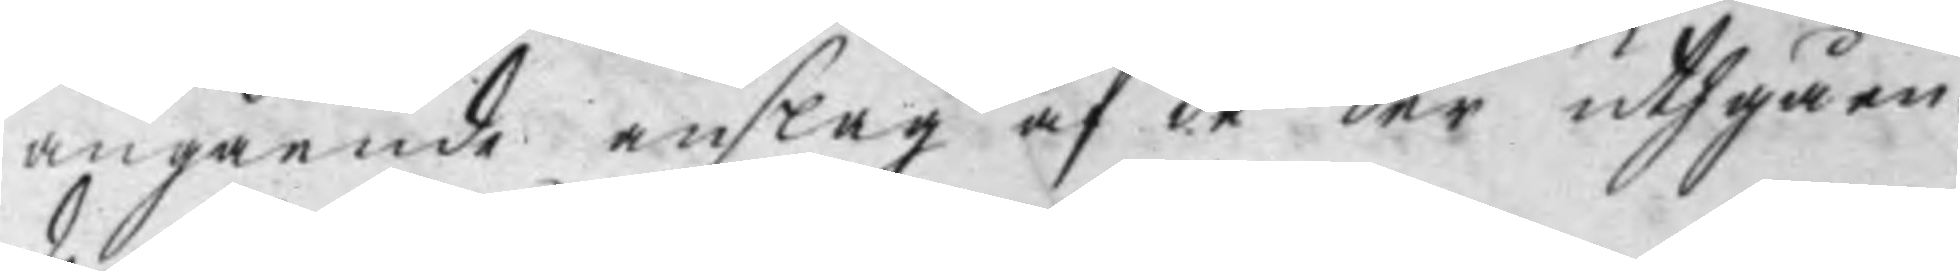angående anslag af de der uthgåen¬
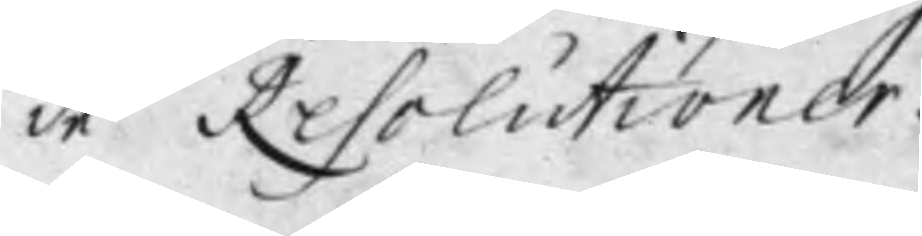de Resolutioner.
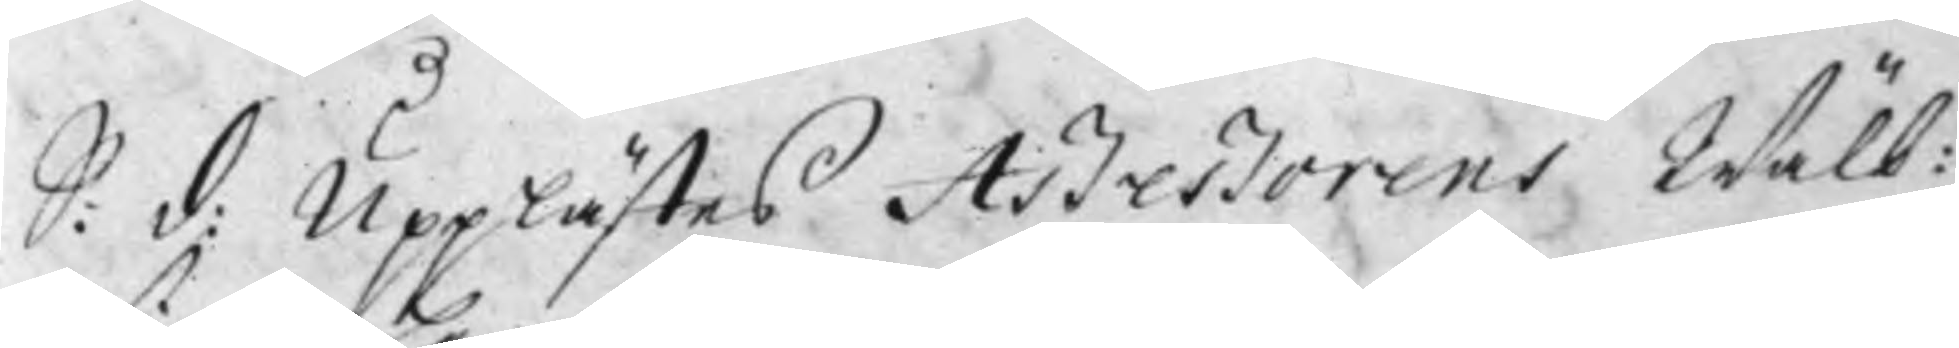S: d: Upplästes Aßeßorens Wälb:
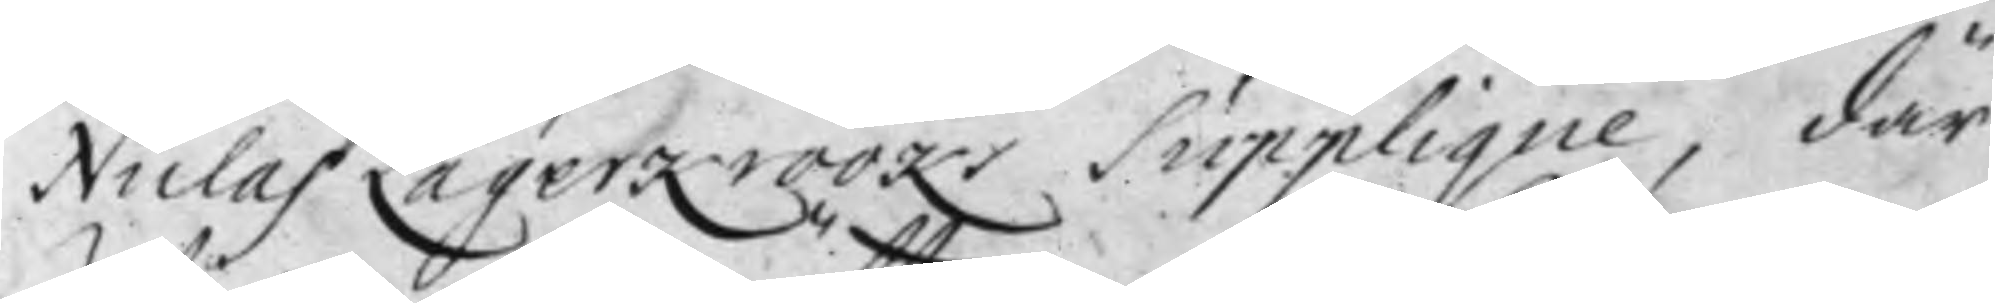Niclas Lagerkrooks Supplique, där
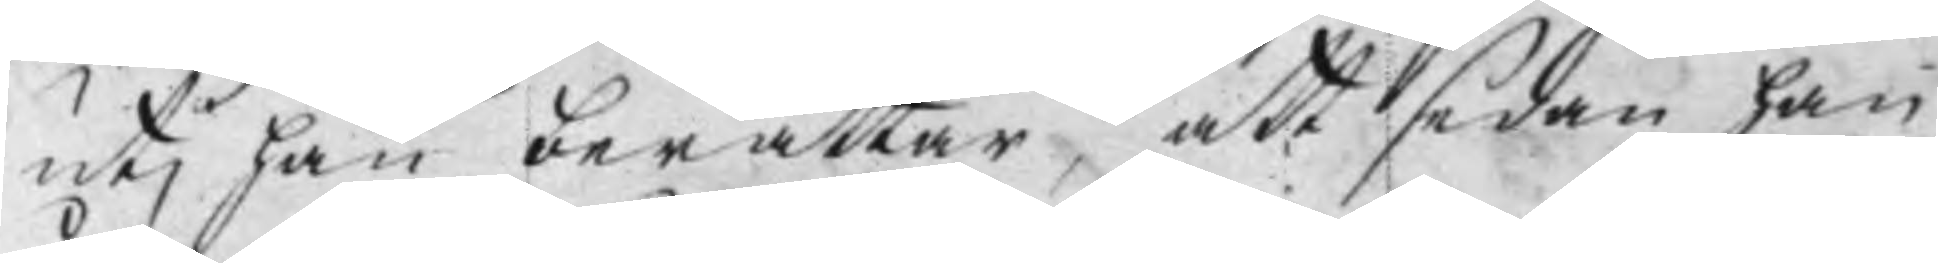utj han berättar, att sedan han
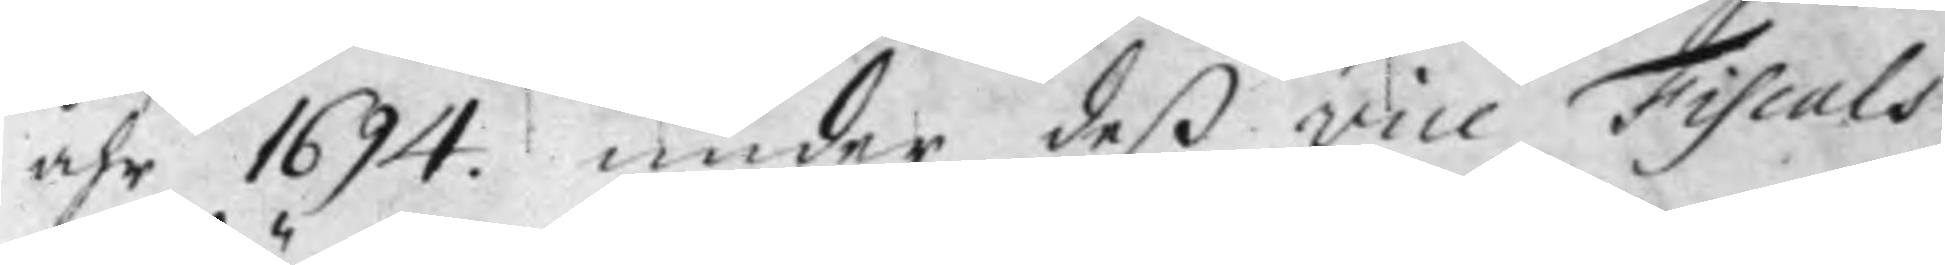åhr 1694. under deß vice Fiscals
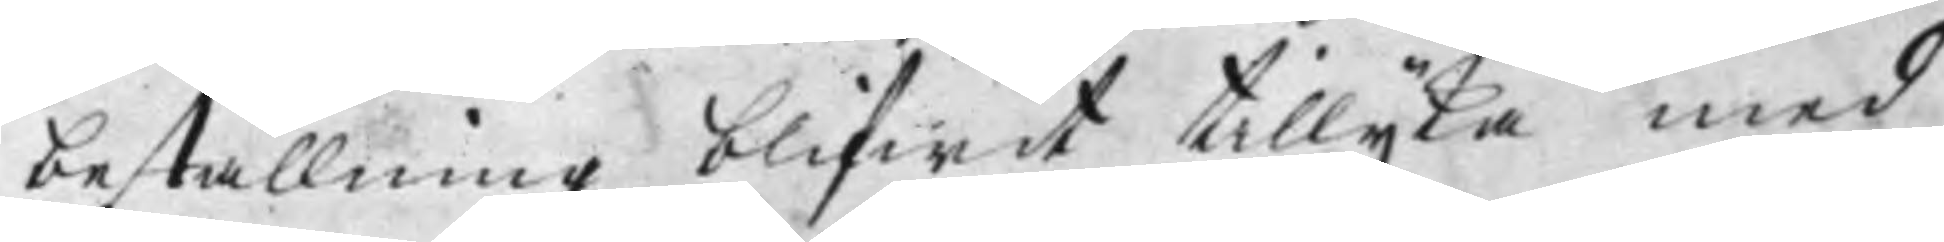beställning blifwit tillijka med
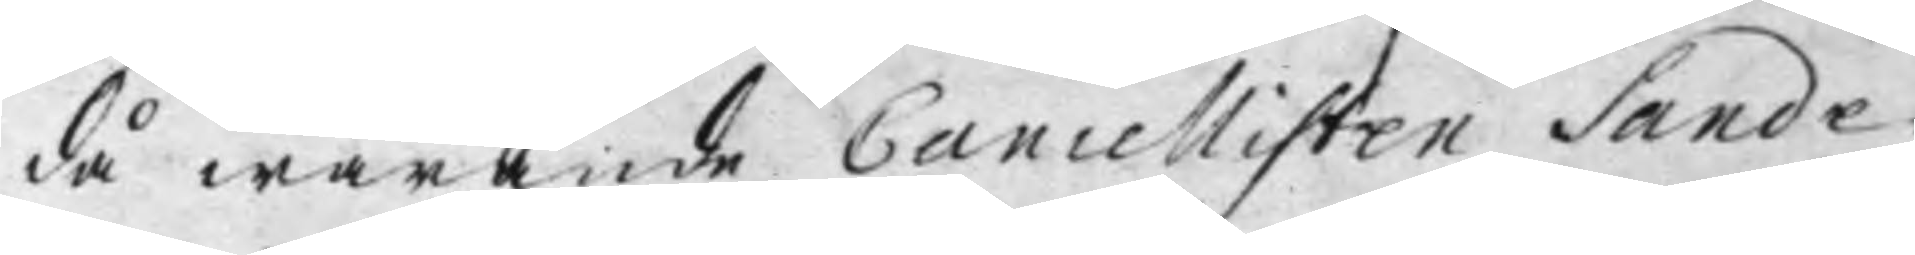då warande Cancellisten Sande¬
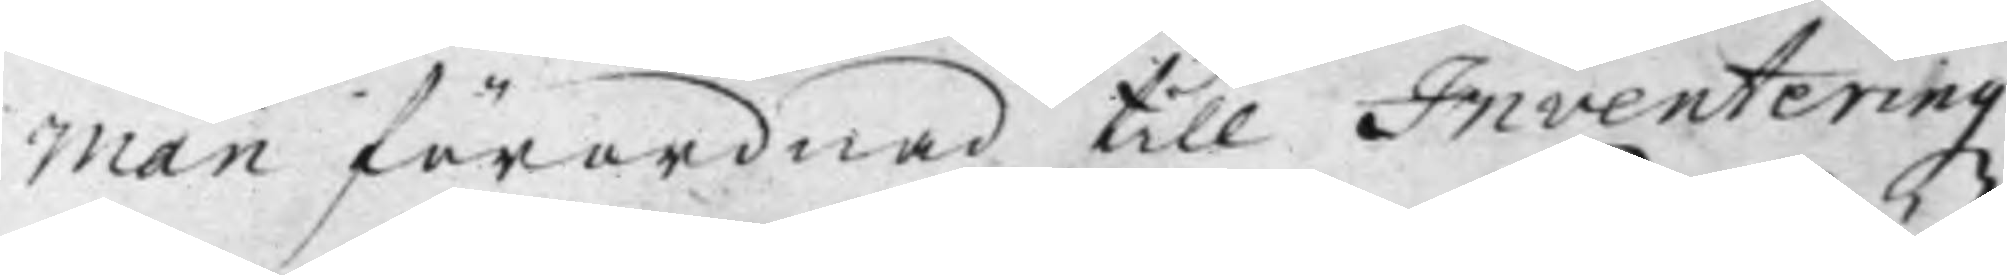man förordnad till Inventeringz
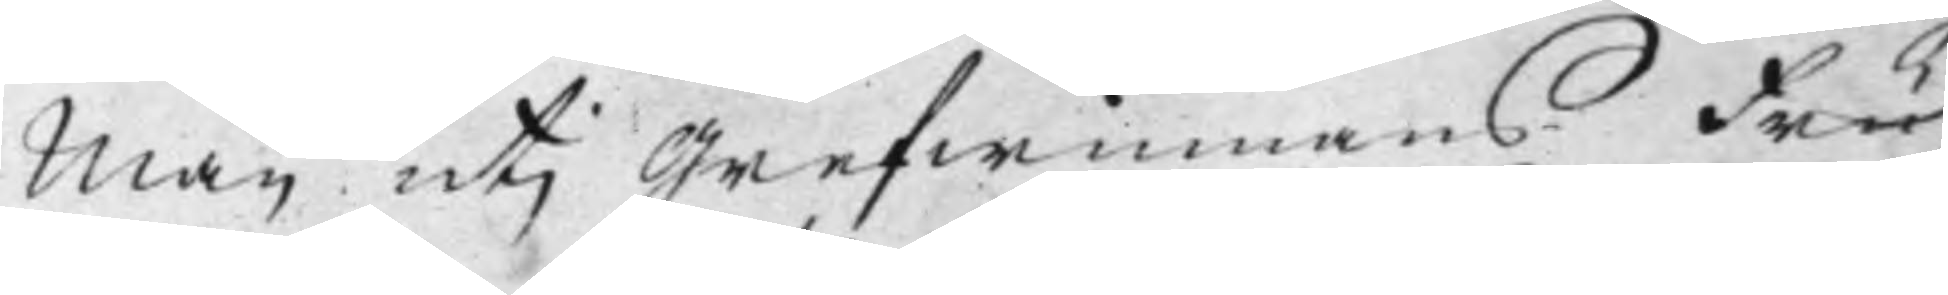Man utj Grefwinnans Fru
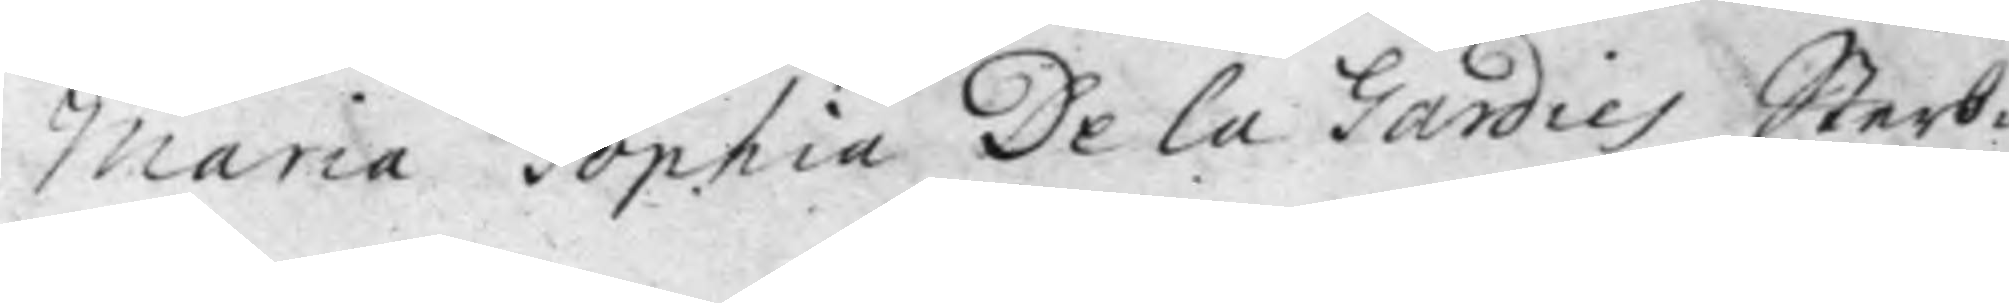Maria Sophia De La Gardies Sterb¬
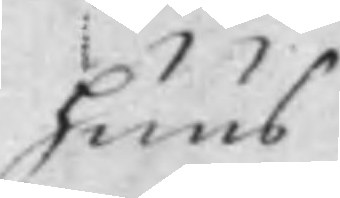huus
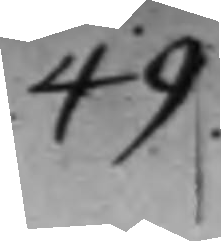49.
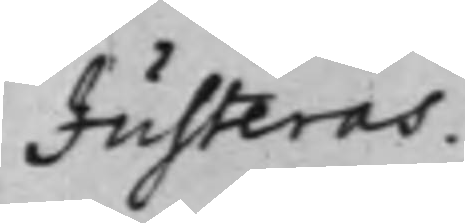Justeras.
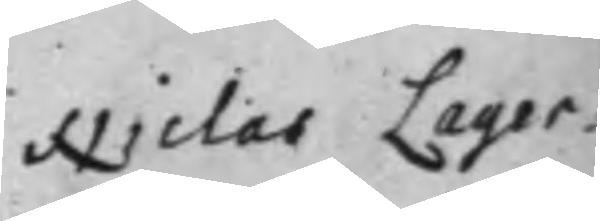Niclas Lager¬
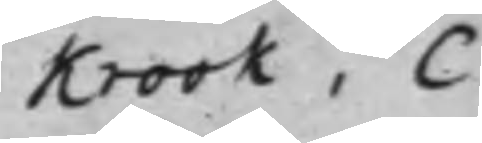krook, C
